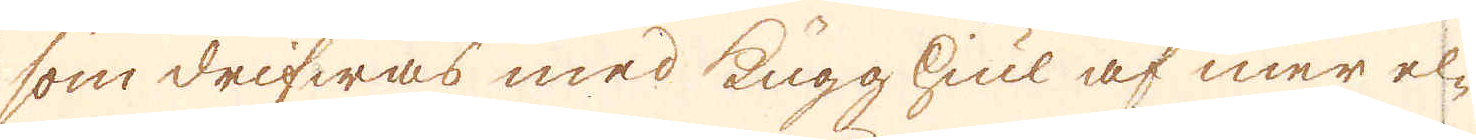som drifwas med Kugg Hiul af mer el-
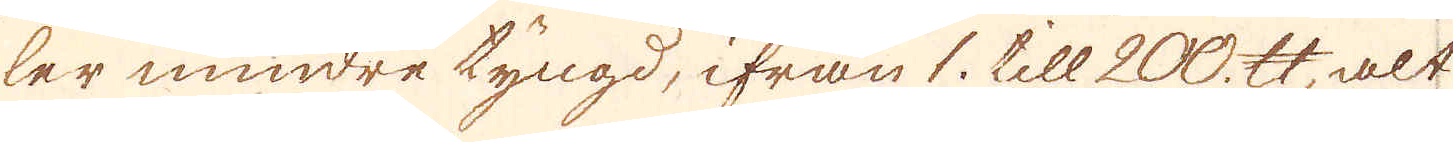ler mindre tyngd, ifrån 1. till 200. skålpund, alt
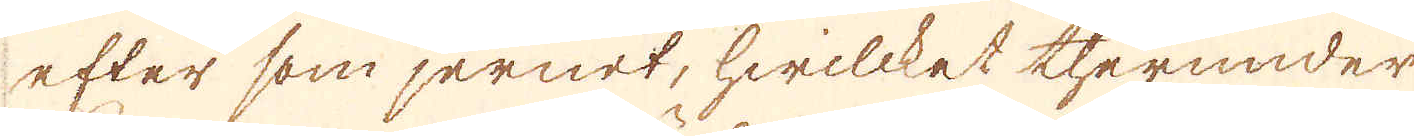efter som jernet, hwilcket therunder
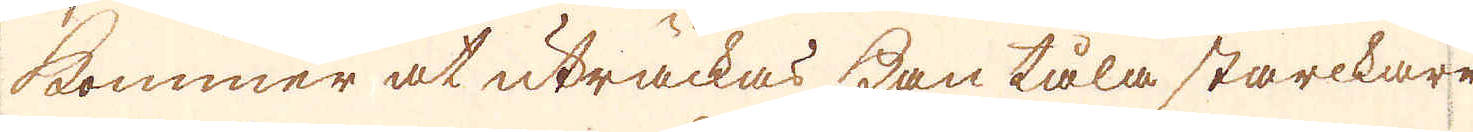kommer at uträckas kan tåla starckare
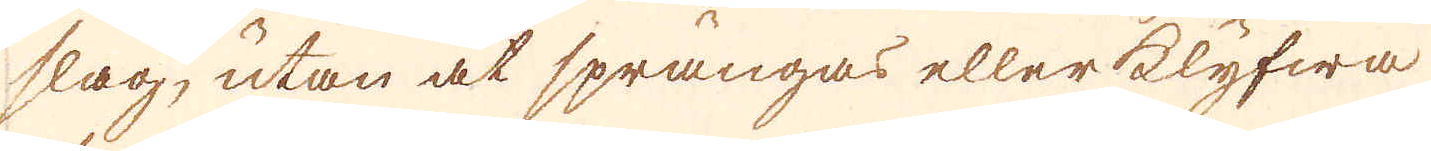slag, utan at sprängas eller klyfwa
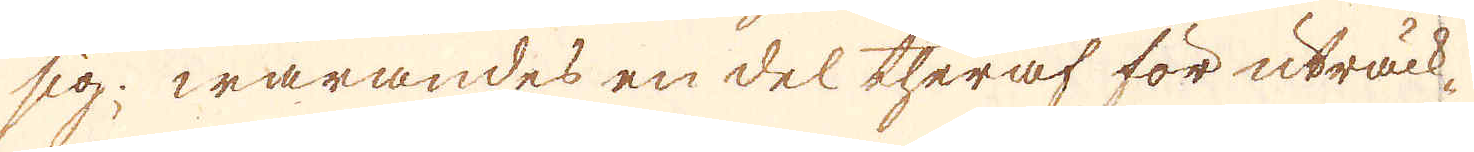sig; warandes en del theraf för uträck-
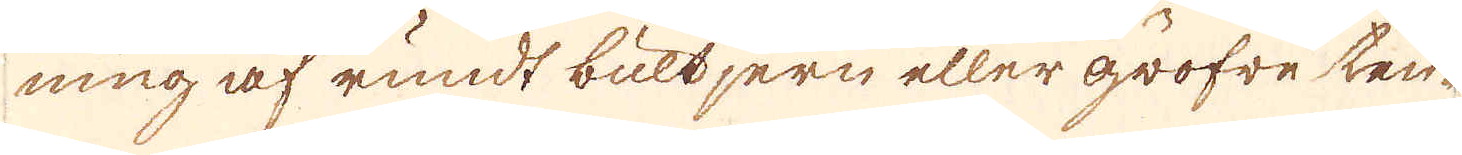ning af rundt bultjern eller gröfre ten-
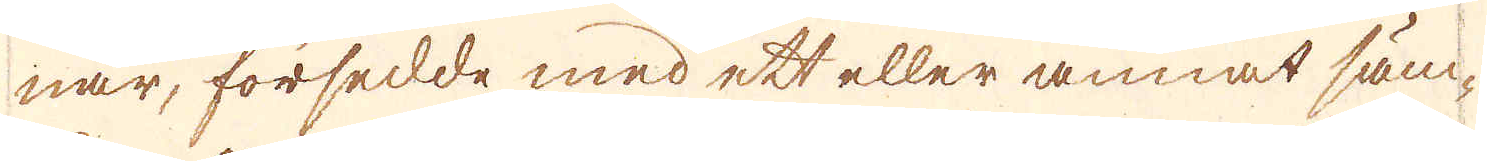nar, försedde med ett eller annat sän-
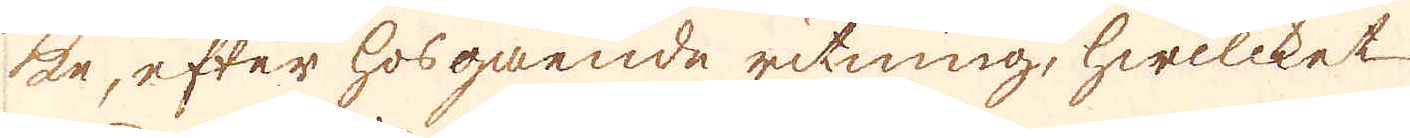ke, efter hosgående ritning, hwilcket
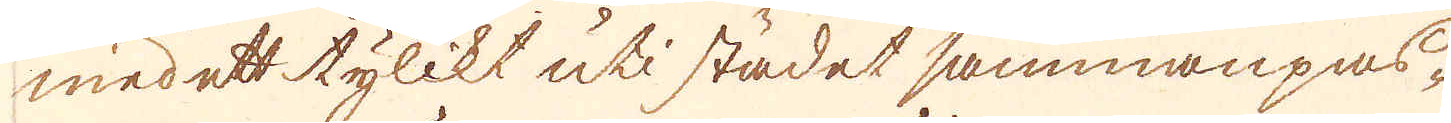med ett tylikt uti städet sammanpas-
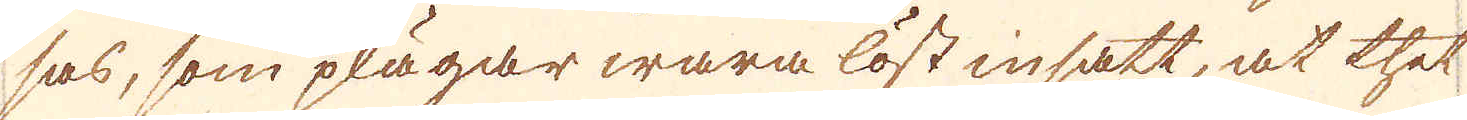sas, som plägar wara löst insatt, at thet
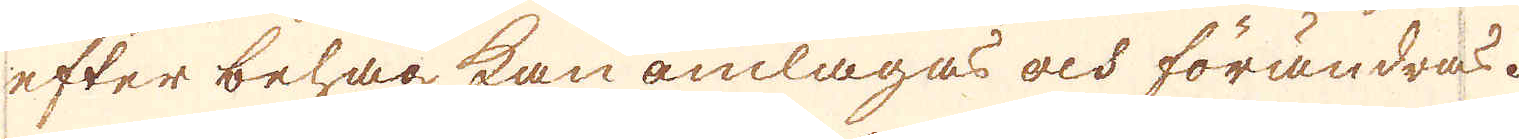efter behag kan omlagas och förändras.
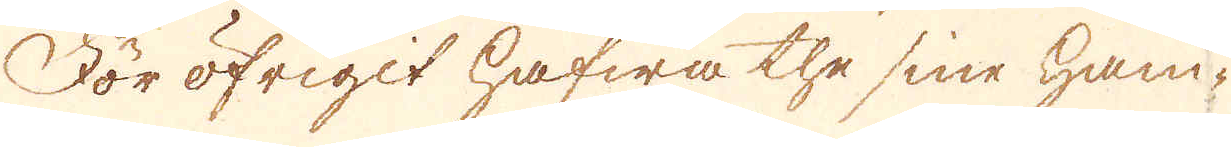För öfrigit hafwa the sine ham-
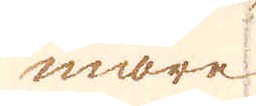mare
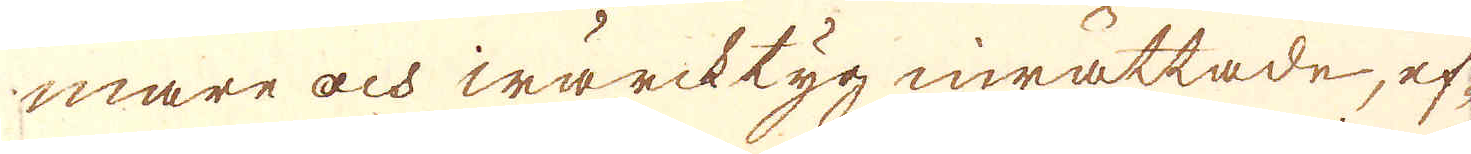mare och wärcktyg inrättade, ef-
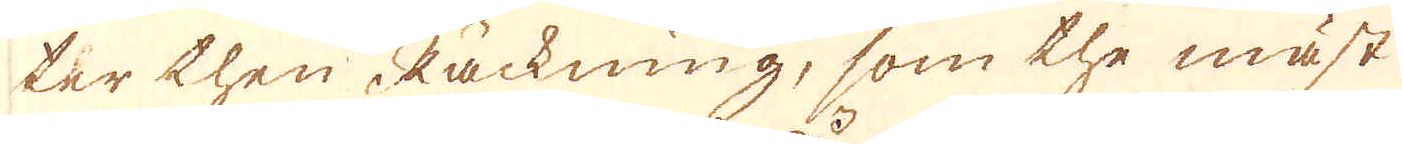ter then Räckning, som the mäst
